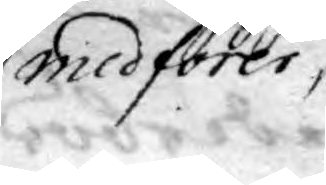medförer
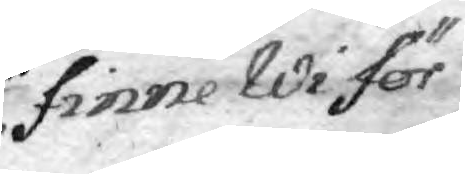finne Wi för
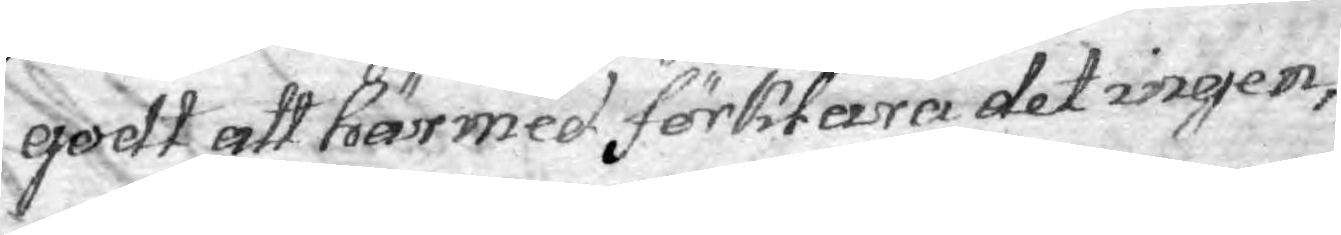qodt att härmed förklara det ingen,
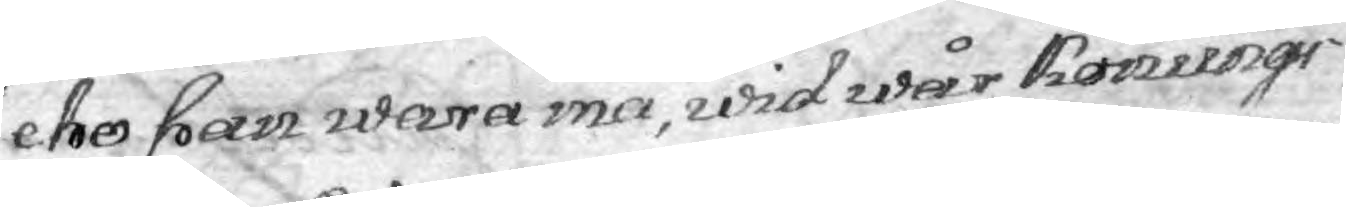eho han wara må, wid wår Konunge¬
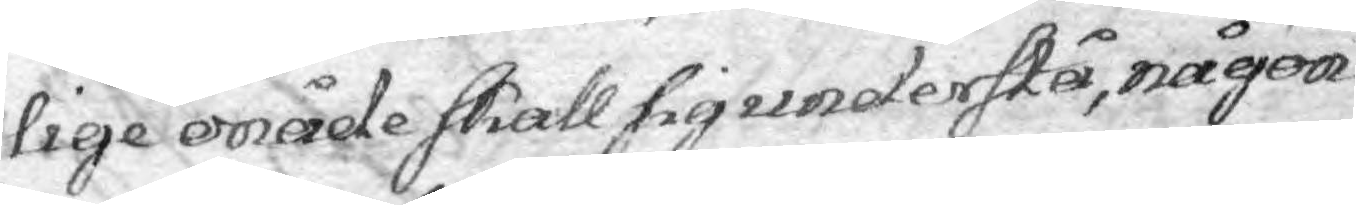lige onåde skall sig understå, någon
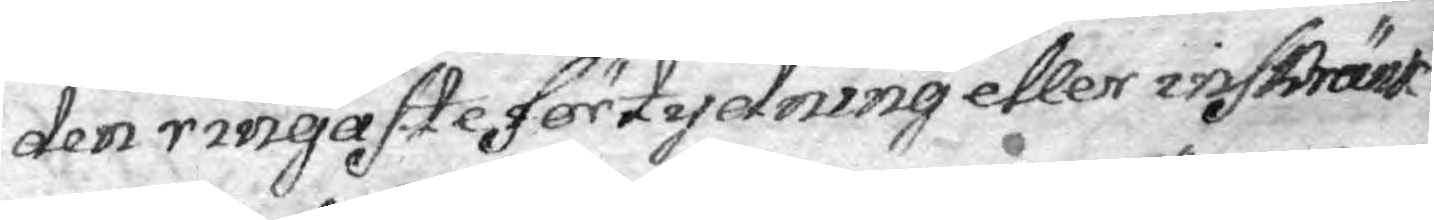den ringaste förtydning eller inskränk
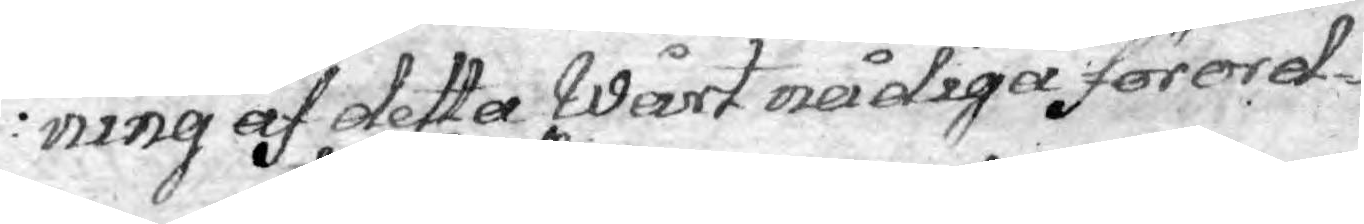ning af detta Wårt nådiga förord¬
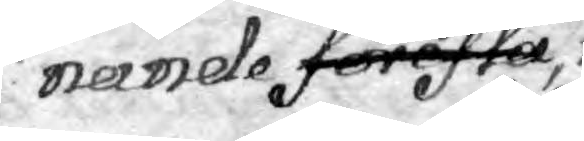nande förestå
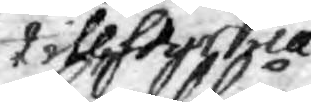tillstyrka
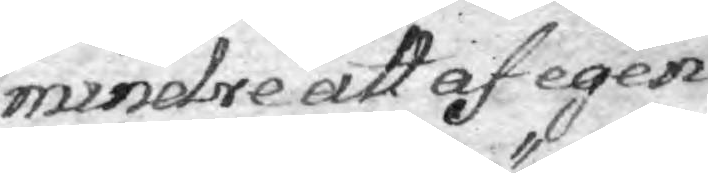mindre att af egen
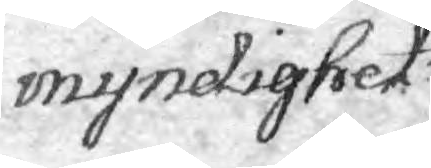myndighet
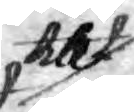tillt
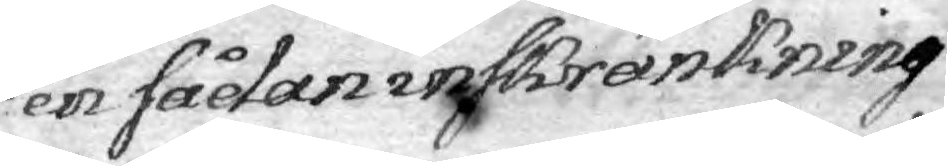en sådan inskränkning
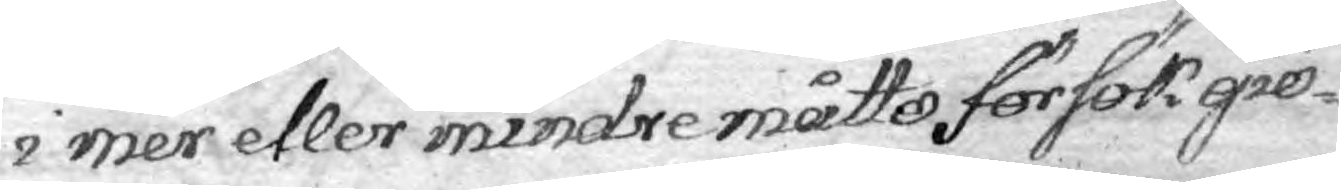i mer eller mindre måtto försök giö¬
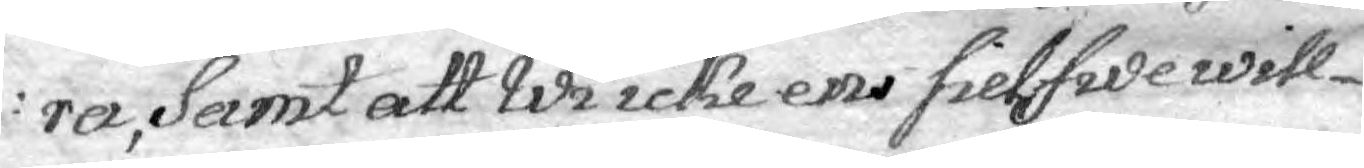rer, Samt att Wi icke ens sielfwe will¬
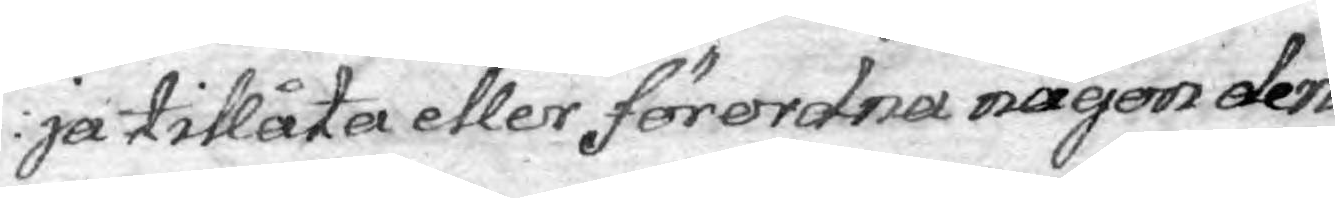ja tillåta eller förordna någon den
